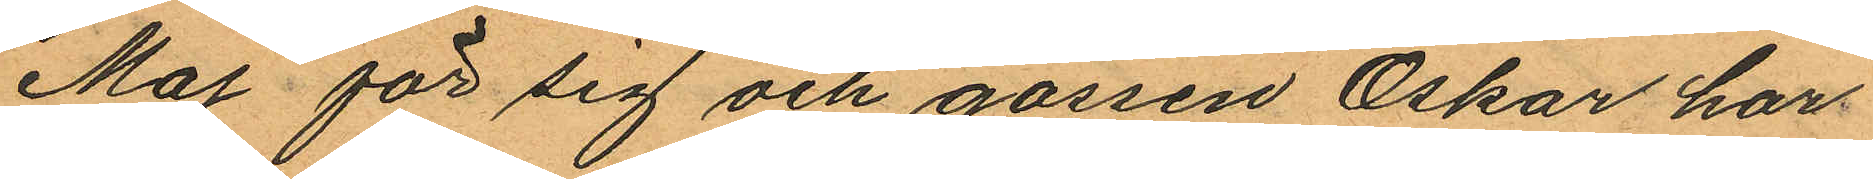Maj för sig och gossen Oskar har
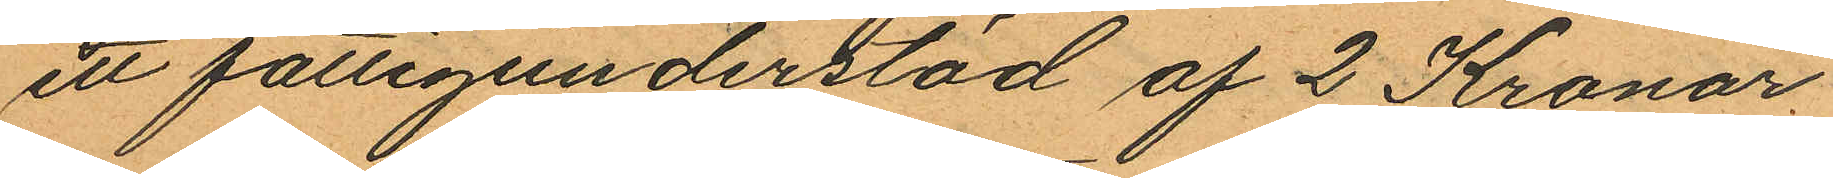ett fattigunderstöd af 2 Kronor
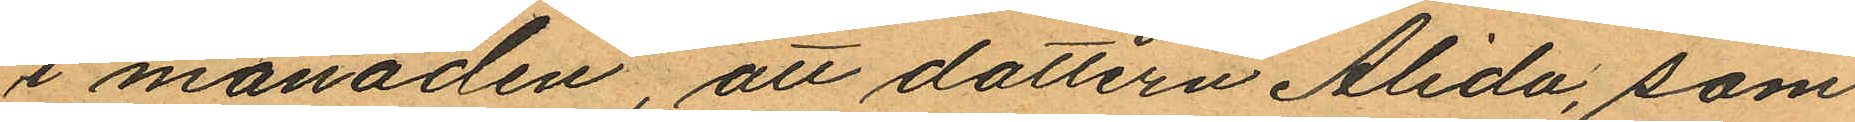i månaden, att dottern Alida, som
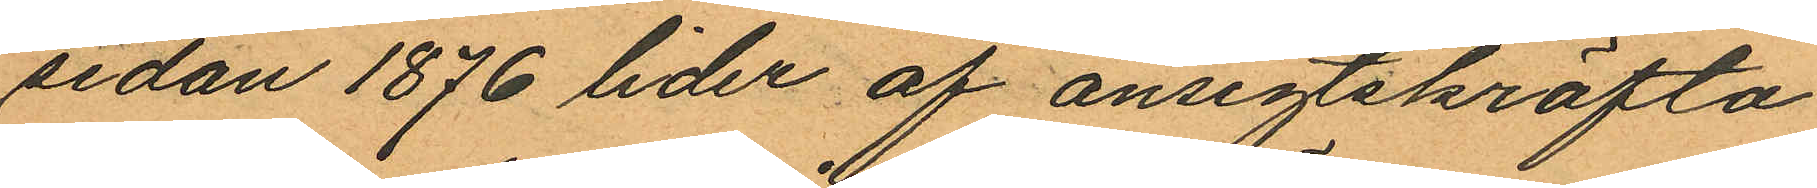sedan 1876 lider af ansigtskräfta
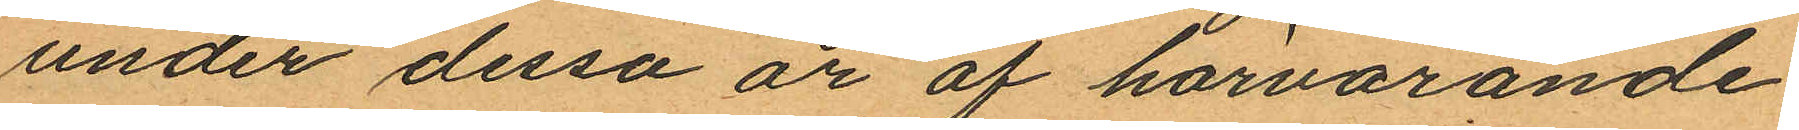under dessa år af härvarande
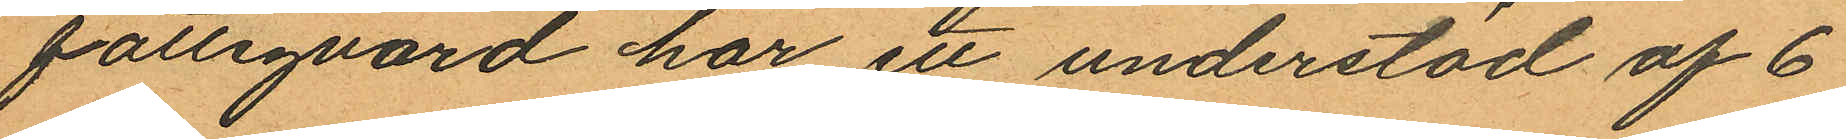fattigvård har ett understöd af 6
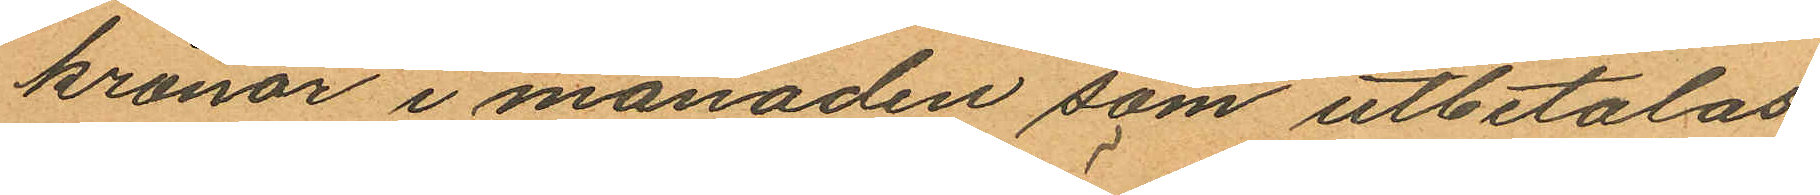kronor i månaden som utbetalas
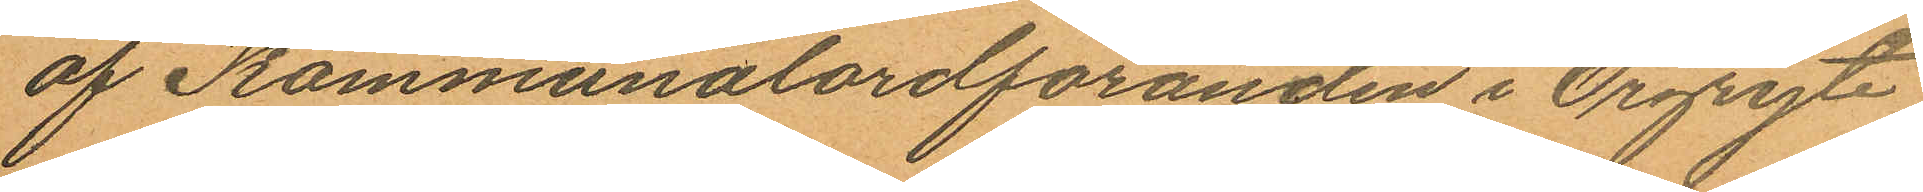af Kommunalordföranden i Örgryte
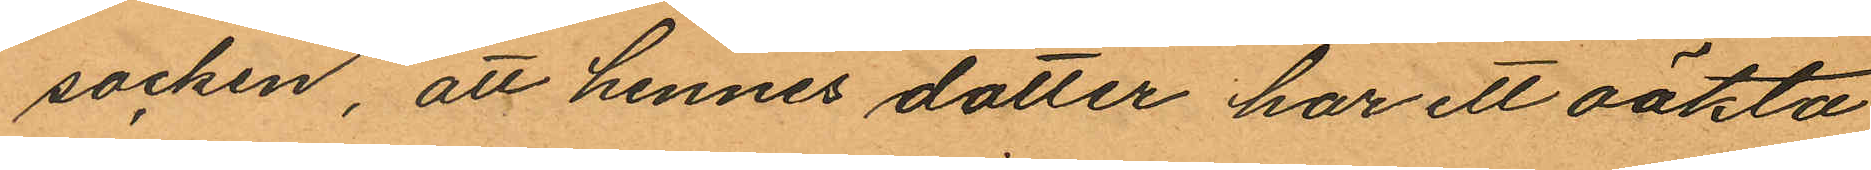socken, att hennes dotter har ett oäkta
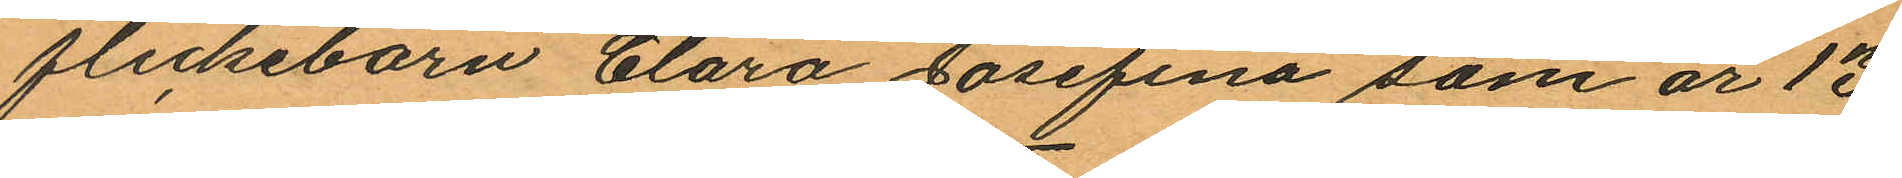flickebarn Clara Josefina som är 13
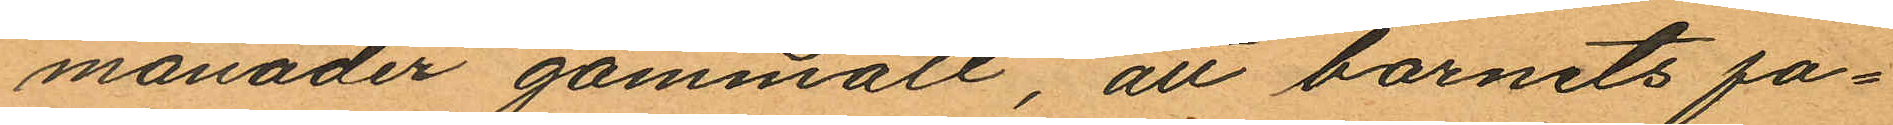månader gammalt, att barnets fa¬
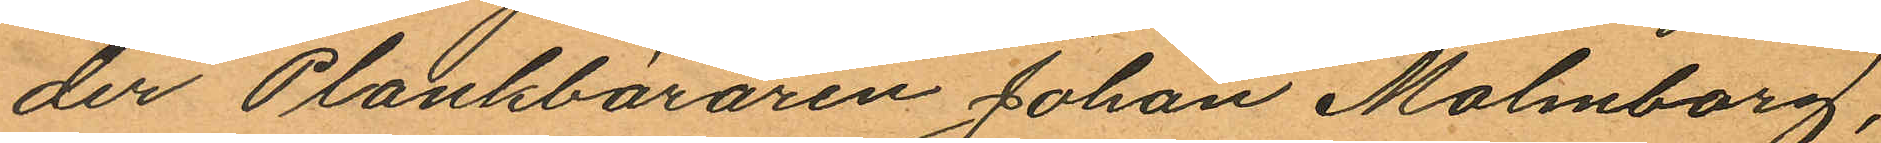der Plankbäraren Johan Malmborg,
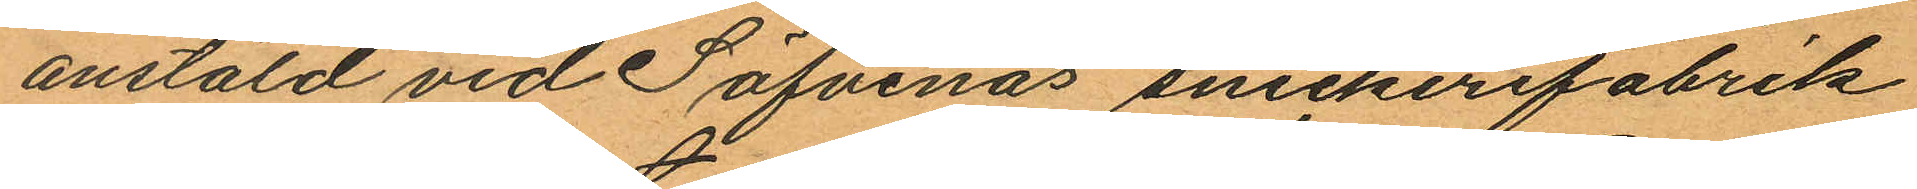anstäld vid Säfvenäs snickerifabrik
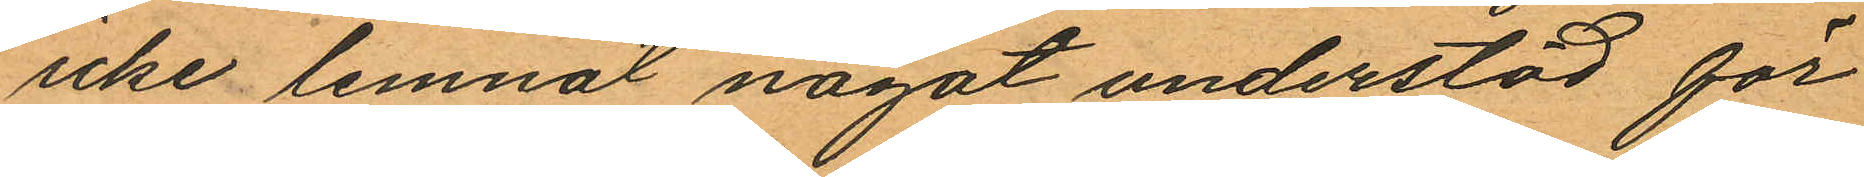icke lemnat något understöd för
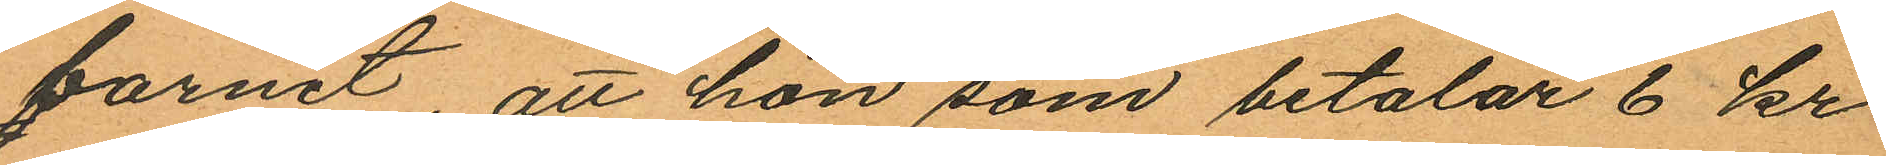barnet, att hon som betalar 6 kr
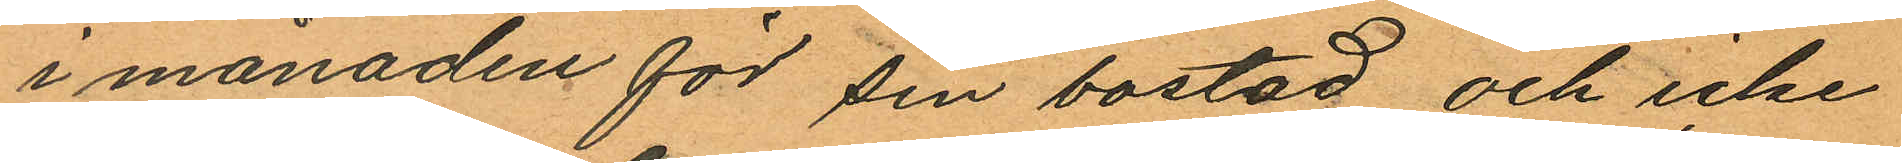i månaden för sin bostad och icke
